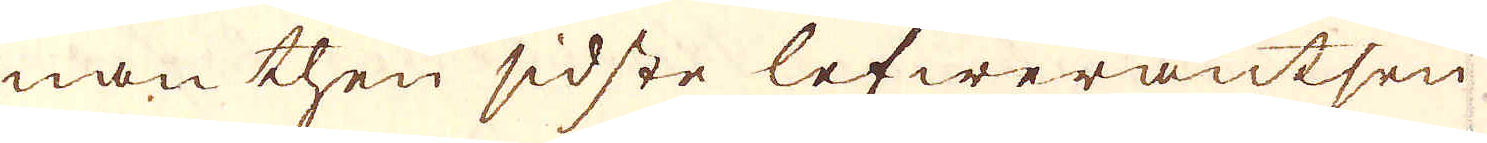nan then sidste lefwerantsen,
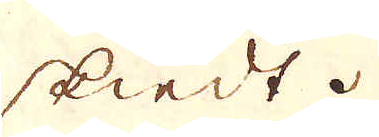skiedt.
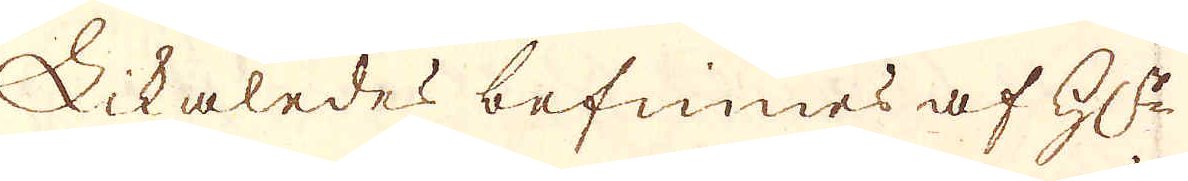Likaledes befinnes af G:r
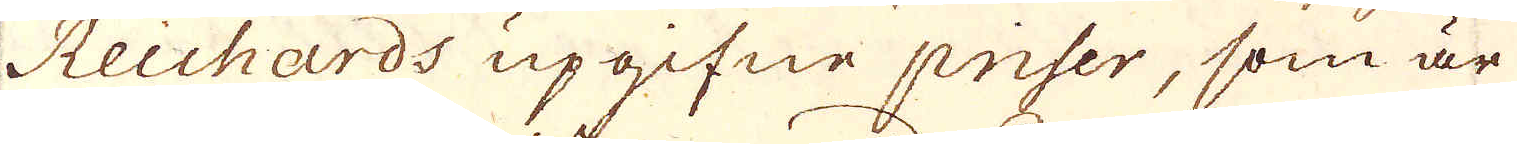Reichards upgifne priser, som är
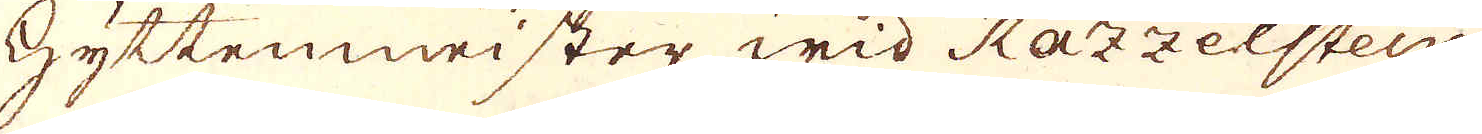Hyttenmeister wid Razzelstein
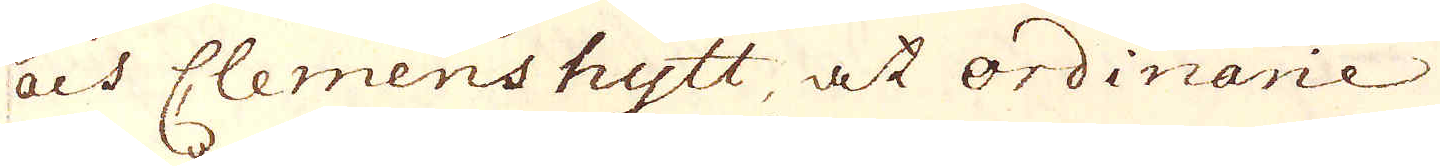och Clemenshytt, at ordinarie
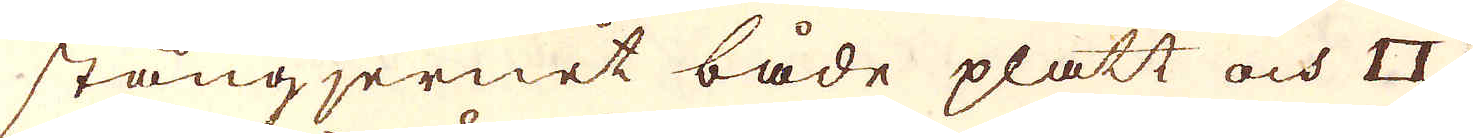stångjernet både platt och □.
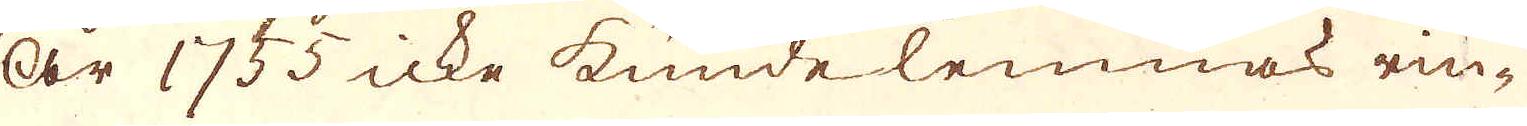År 1755 icke kunde lemnas rin-
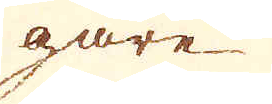gare
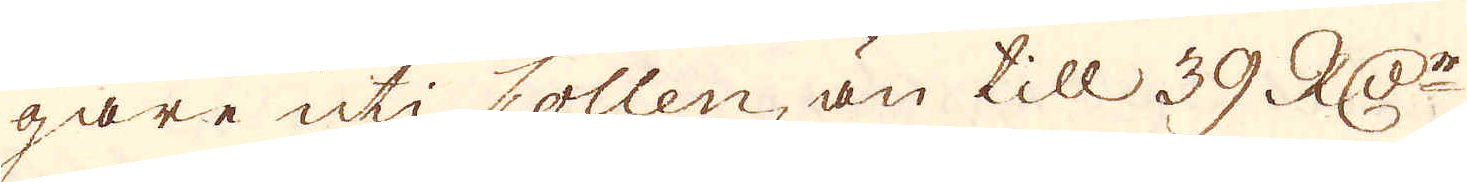gare uti Collen, än till 39. RD:r
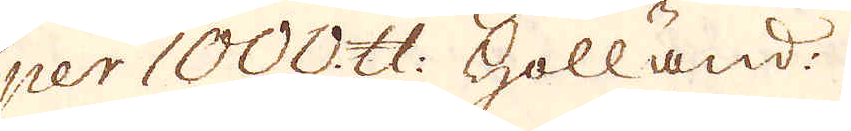per 1000. skålpund Holländ:
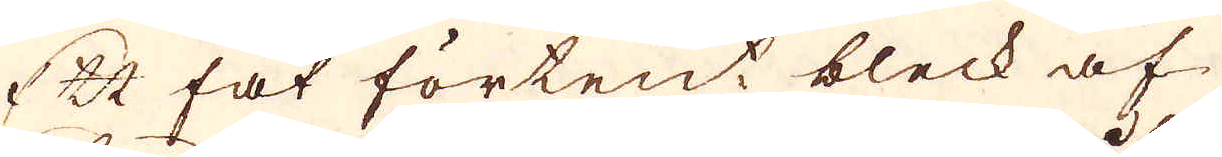Ett fat förtent bleck af
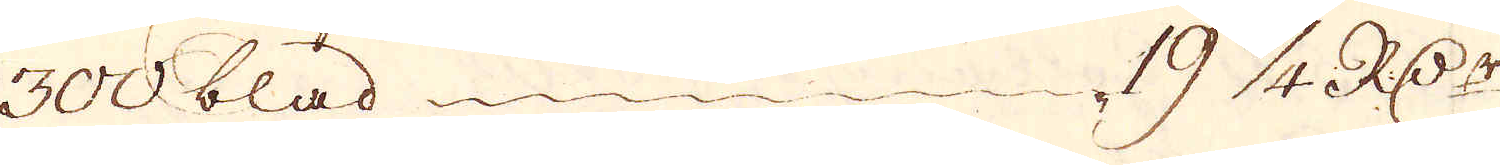300 blad 19 1/4 R:Dr
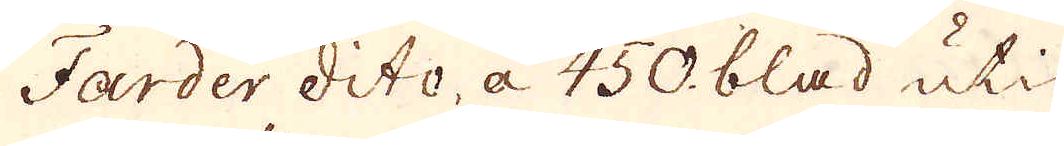Farder dito, a 450. blad uti
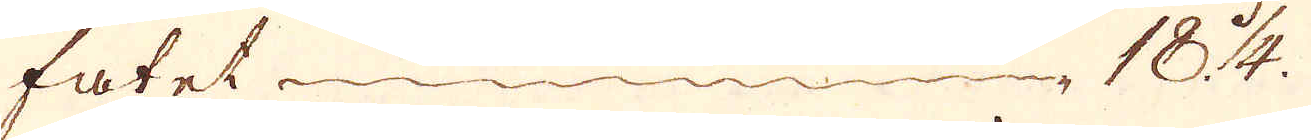fatet 18 1/4.
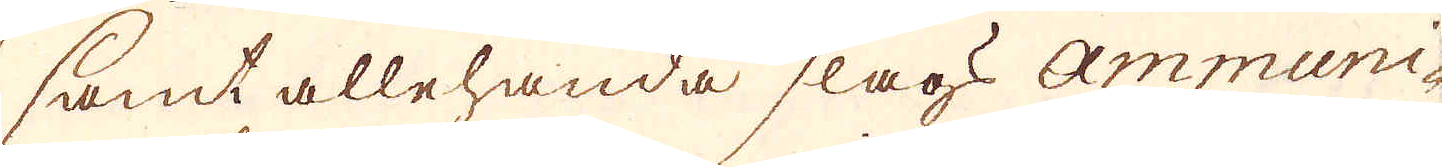samt allehanda slags Ammuni-
